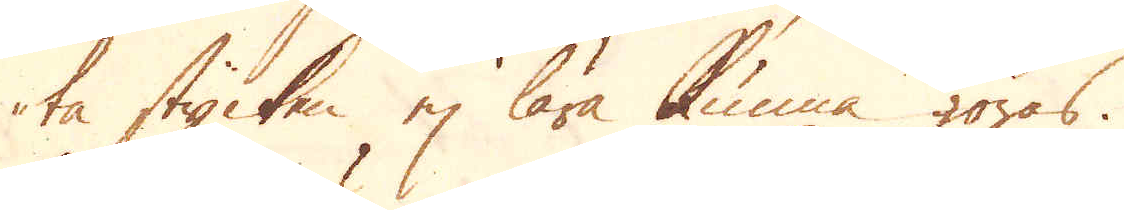ta stycken ej lära kunna göras.
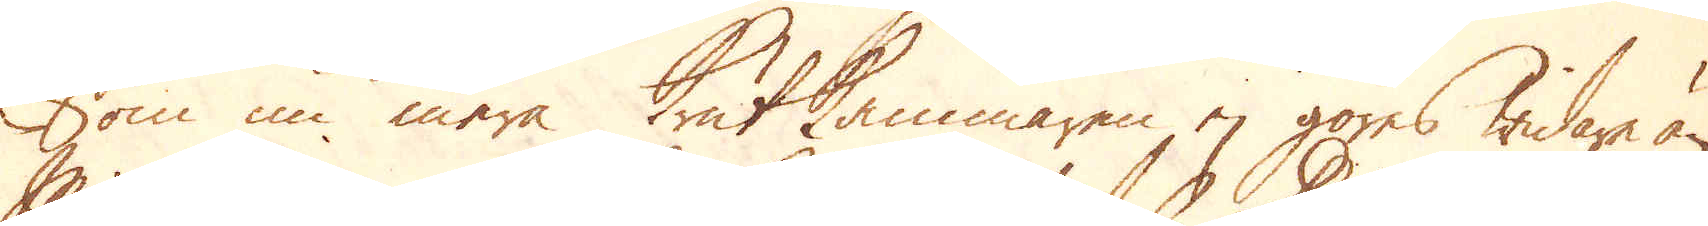Som nu mera Krutkammaren ej göres widare än
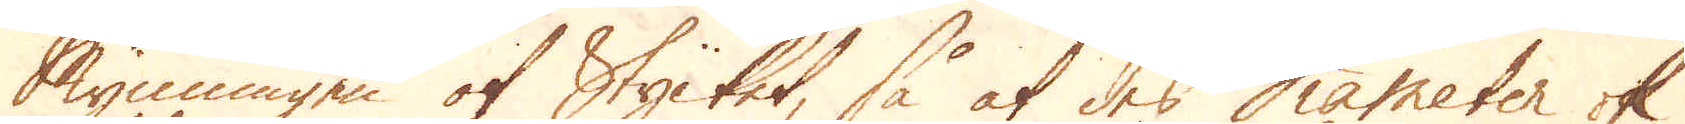Mynningen af Stycket, så at des Diameter ok
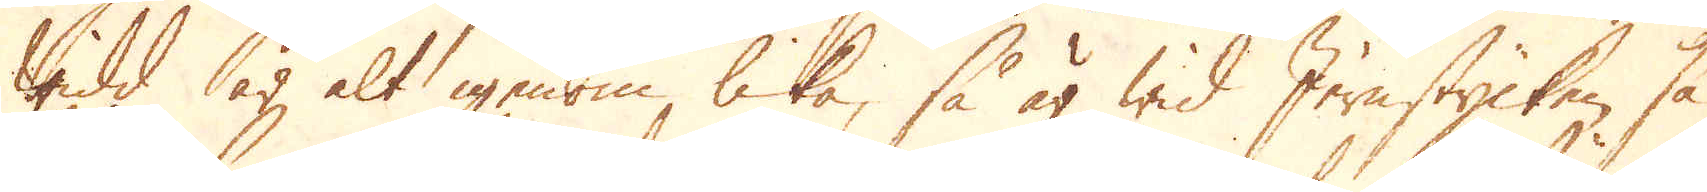Widd är alt igenom lika, så är wid Jernstycken så
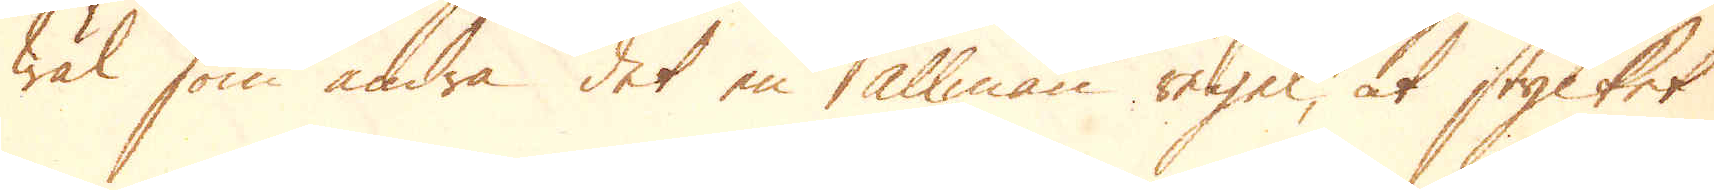wäl som andra det en allmän regel, at stycket
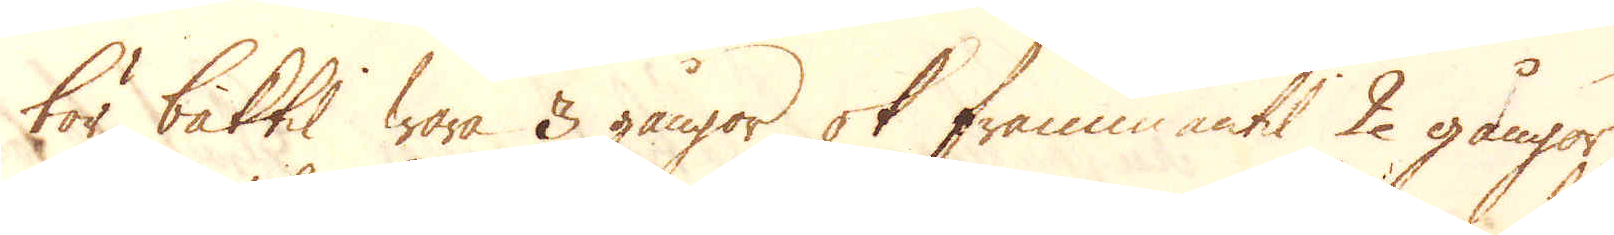bör baktil wara 3 gångor ok frammantil 2 gångor
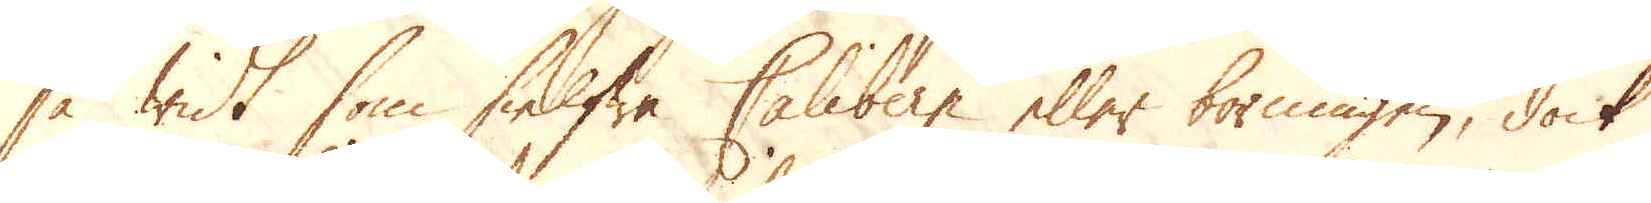så widt som sielfwe Calibern eller borningen, dock
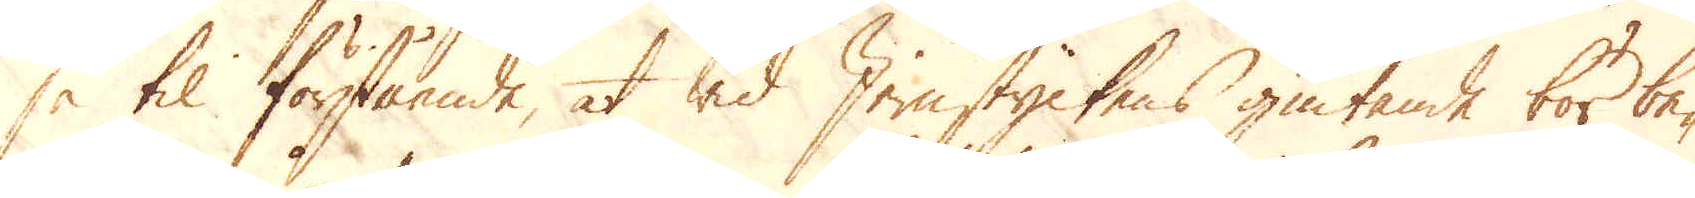så til förstående, at wid Jernstyckens giutande bör be-
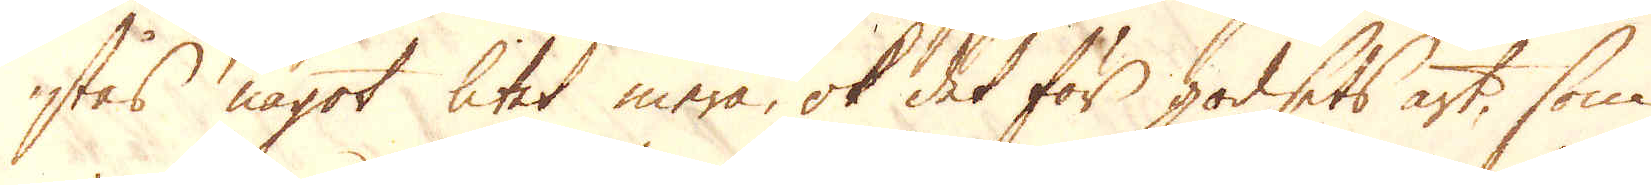stås något litet mera, ok det för godsets art, som
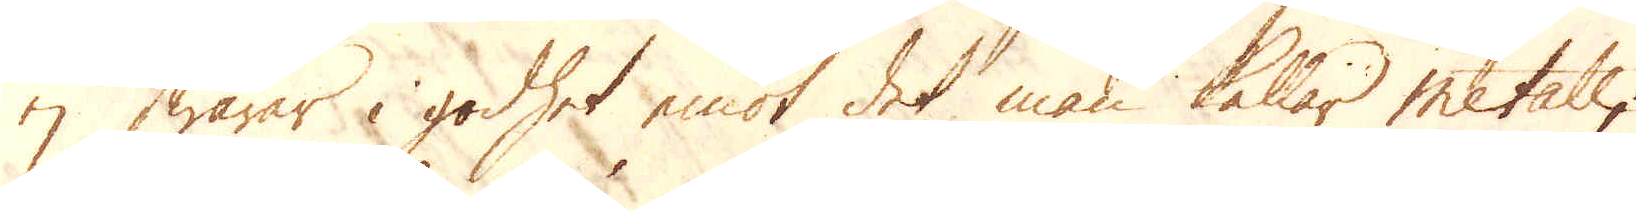ej swarar i godhet emot det man kallar Metall;
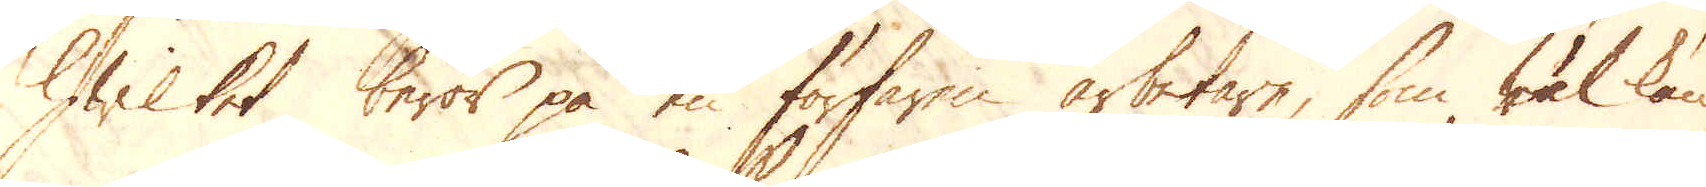hwilket beror på en förfaren arbetare, som wäl kän-
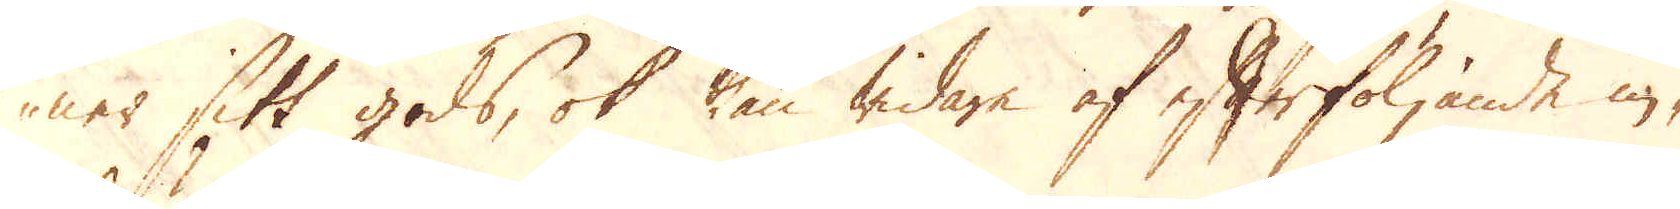ner sitt gods, ok kan widare af efterföljande in-
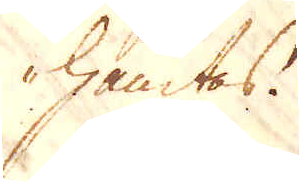hämtas.
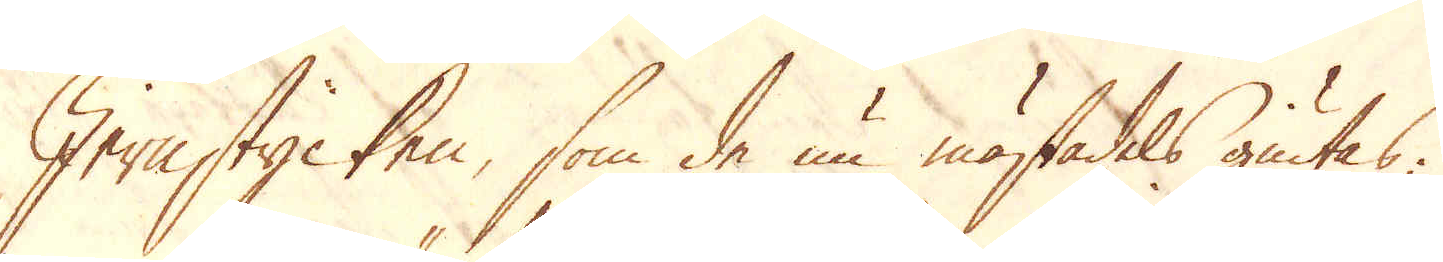Jernstycken, som de nu mästadels giutas.
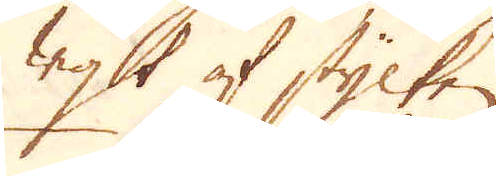wigst af stycken
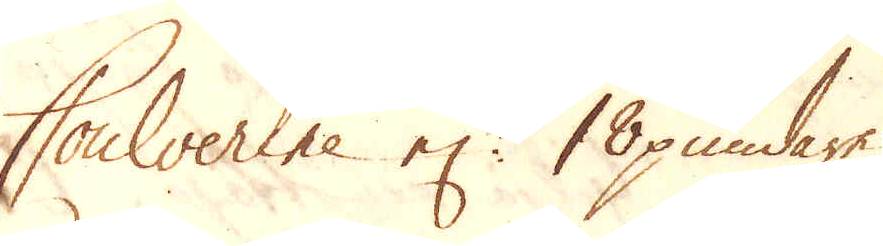Coulverine el:r 18 pundare
